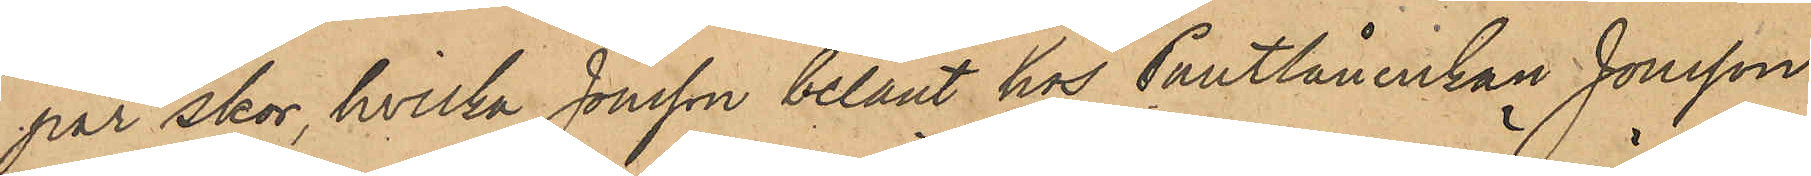par skor, hvilka Jonsson belånt hos Pantlånerskan Jonsson
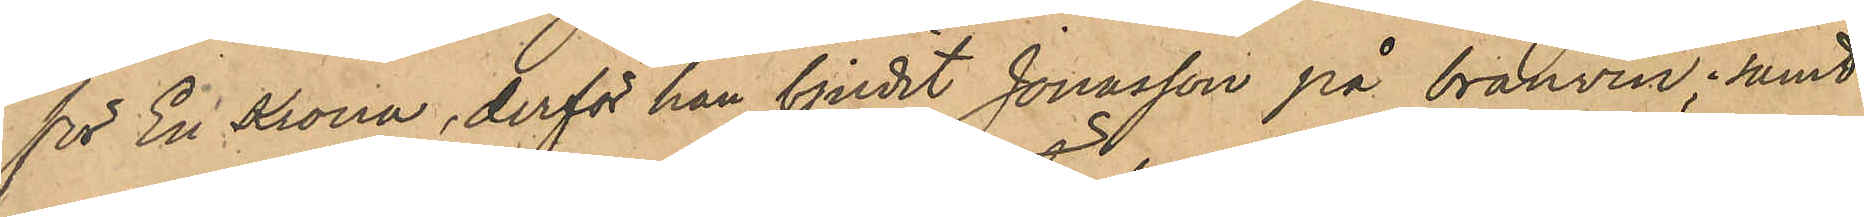för En Krona, derför han bjudit Jonasson på bränvin; samt
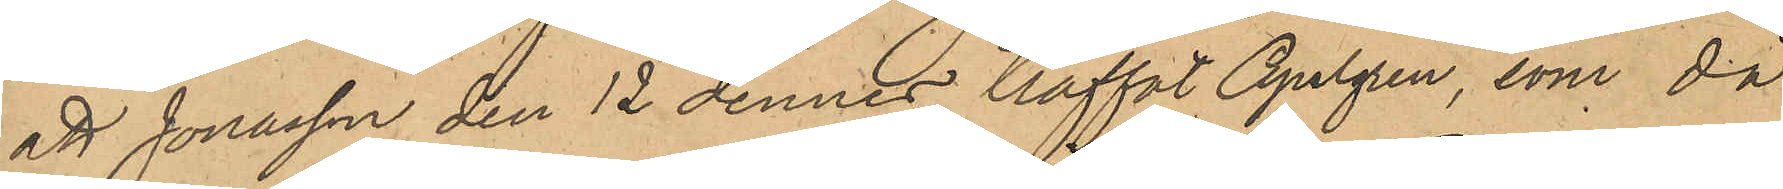att Jonasson den 12 dennes träffat Apelgren, som då
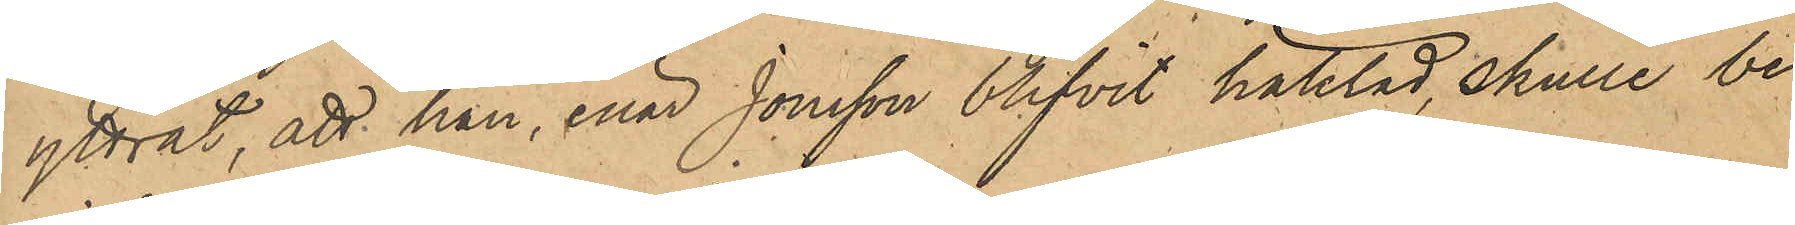yttrat, att han, enär Jonsson blifvit häktad, skulle be¬
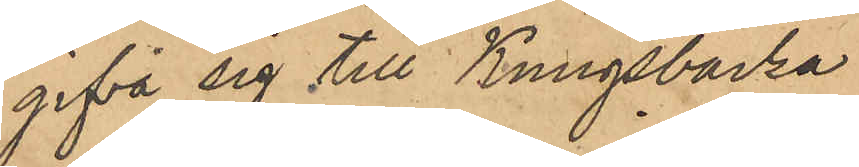gifva sig till Kungsbacka.
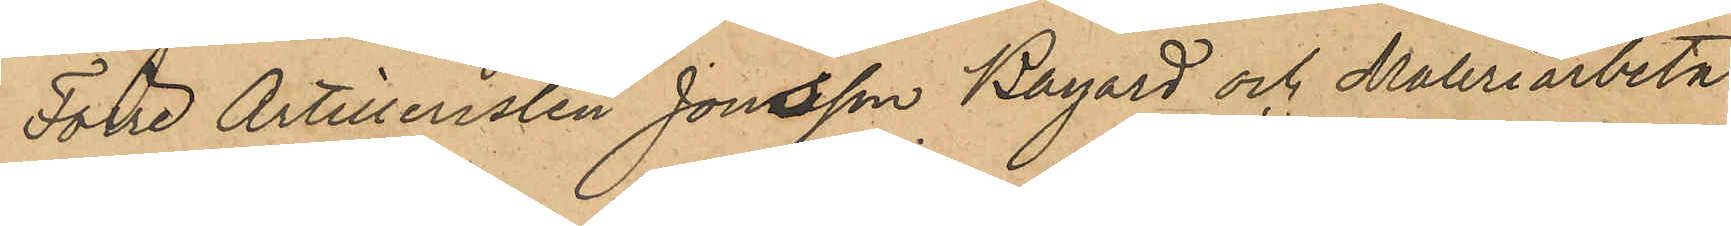Förre Artilleristen Jonsson Bayard och Måleriarbeta¬
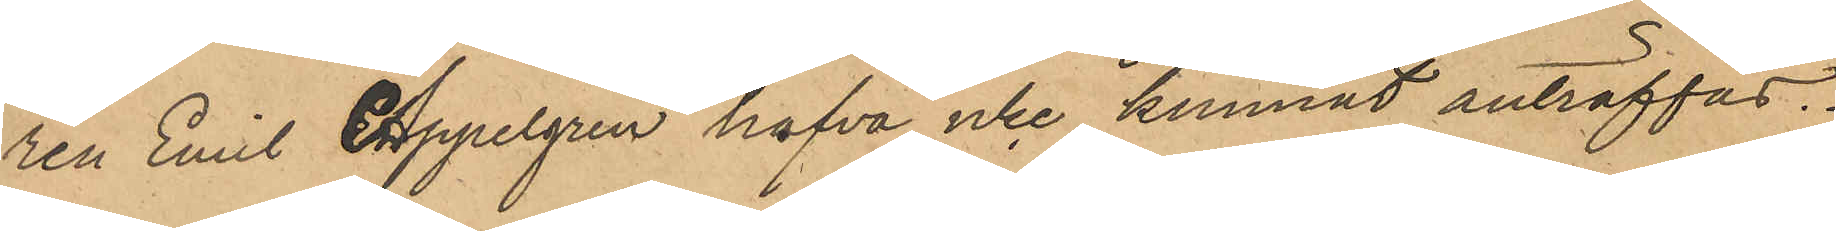ren Emil Appelgren hafva icke kunnat anträffas.
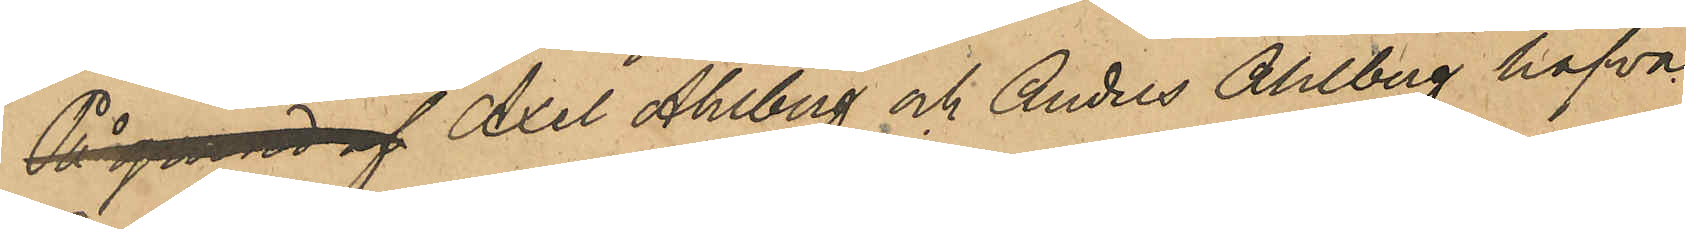På grund af Axel Ahlberg och Anders Ahlberg hafva
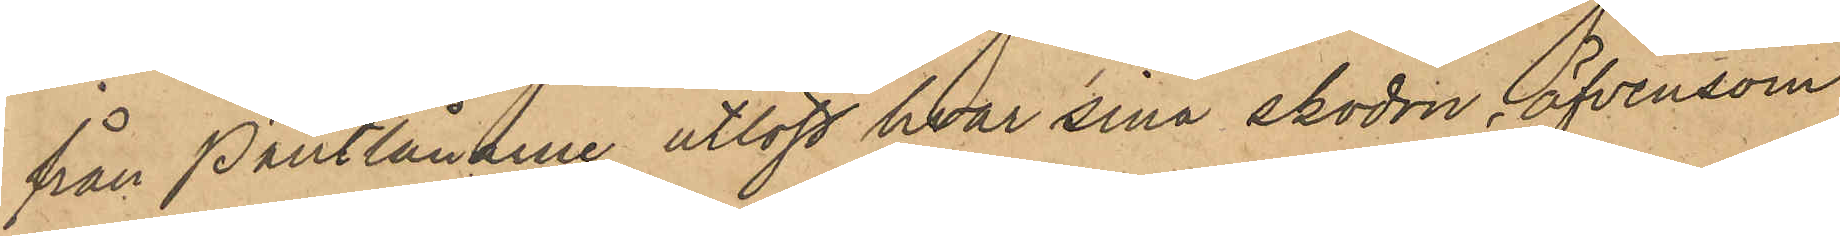från Pantlånarne utlöst hvar sina skodon, äfvensom
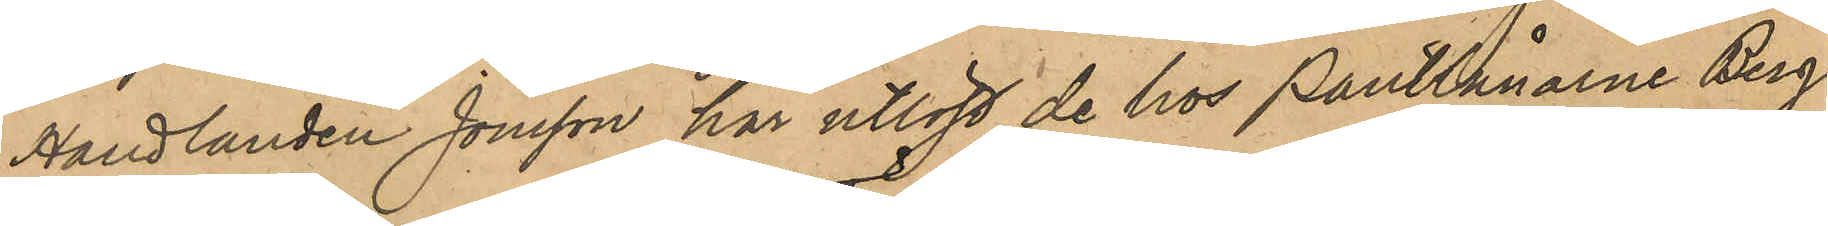Handlanden Jönsson har utlöst de hos Pantlånarne Berg
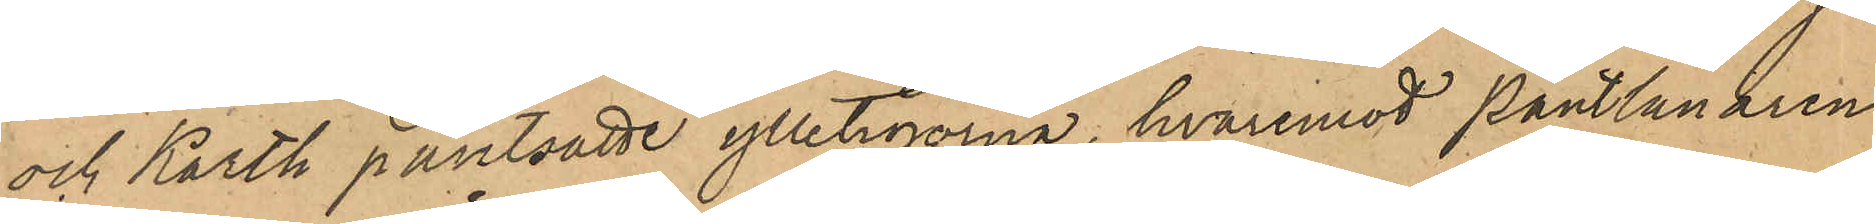och Karth pantsatte ylletröjorna, hvaremot Pantlånaren
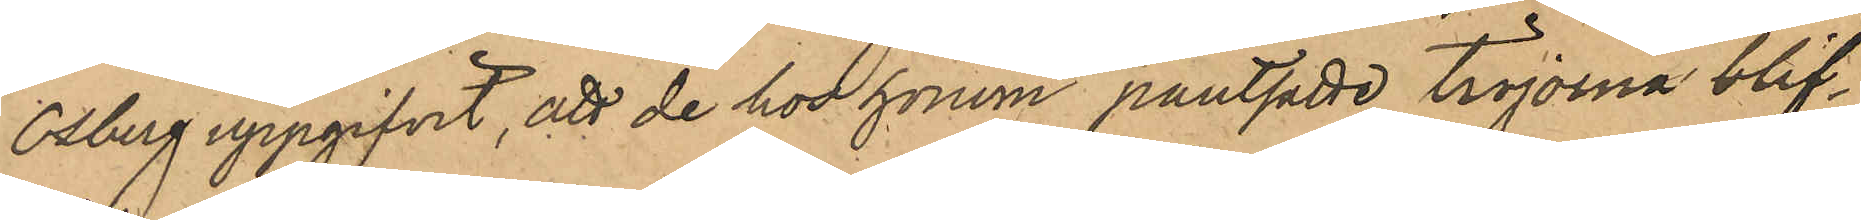Osberg uppgifvit, att de hos honom pantsatte tröjorna blif¬
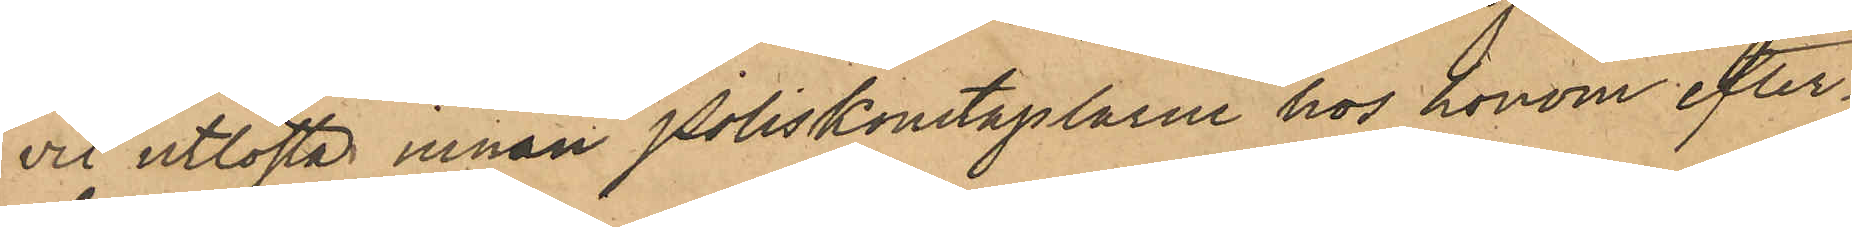vit utlösta innan Poliskonstaplarna hos honom efter¬
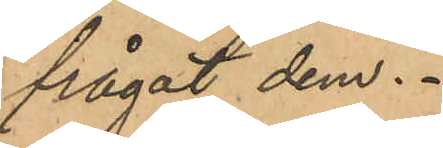frågat dem.
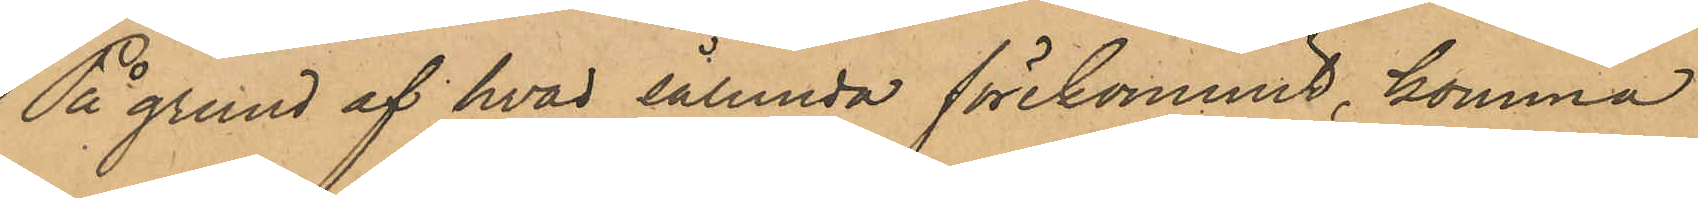På grund af hvad sålunda förekommit, komma
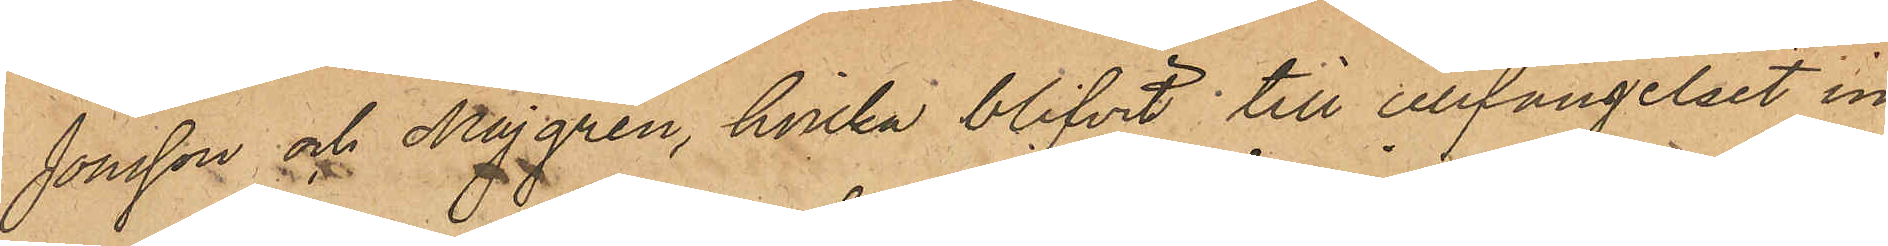Jonsson och Majgren, hvilka blifvit till cellfängelset in¬
